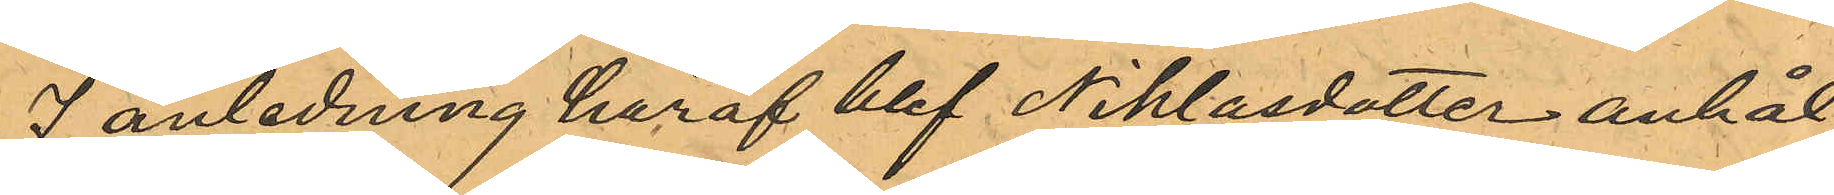I anledning häraf blef Niklasdotter anhål¬
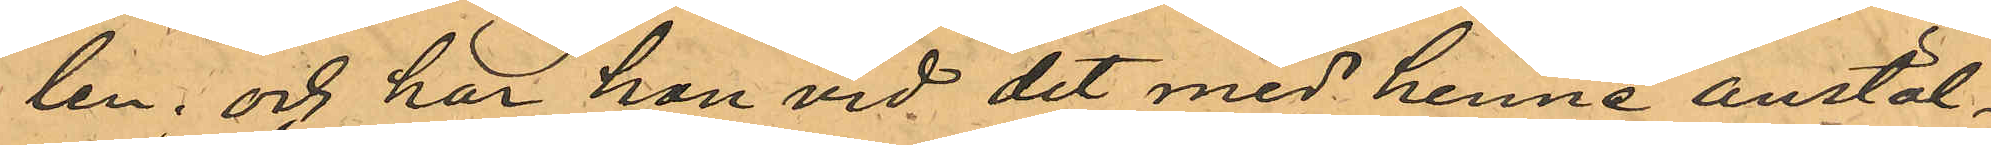len; och här hon vid det med henne anstäl¬
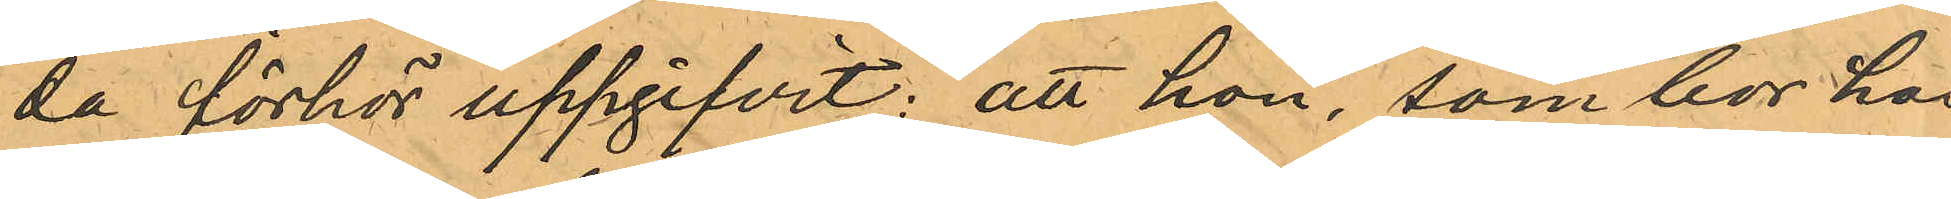da förhör uppgifvit: att hon, som bor hos
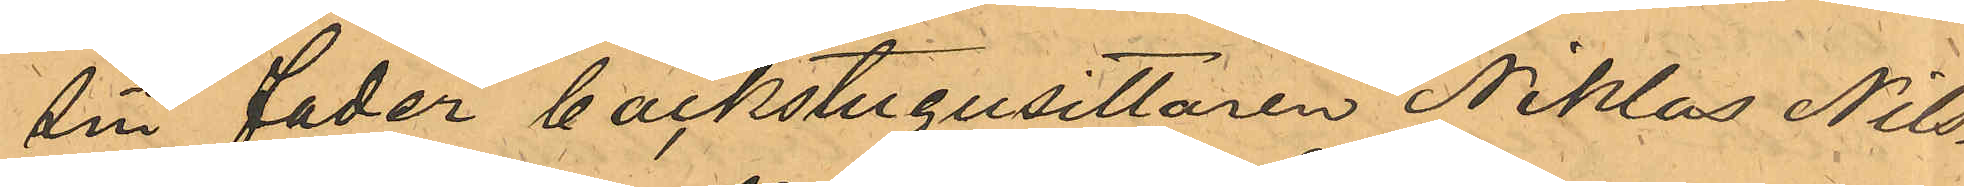sin fader backstugusittaren Niklas Nils¬
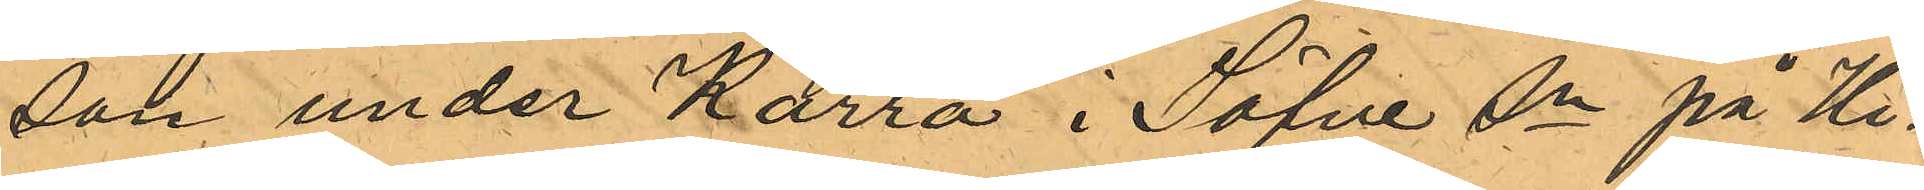son under Kärra i Säfve Sn på Hi¬
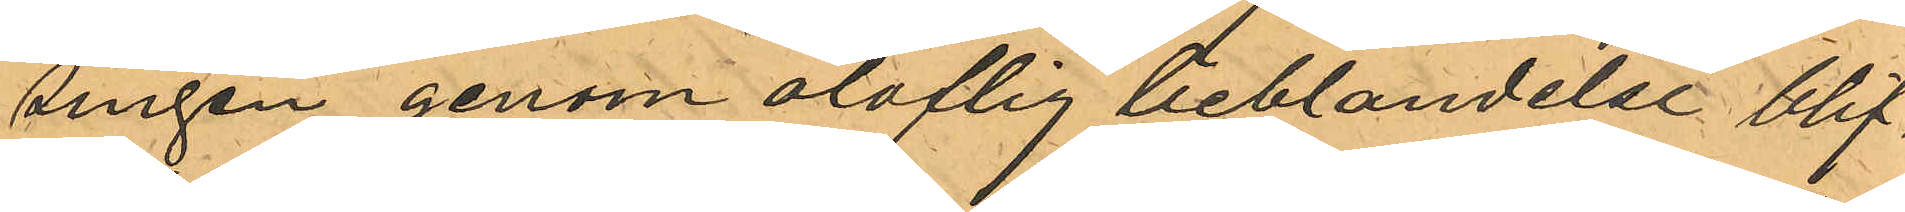singen genom oloftig beblandelse blif¬
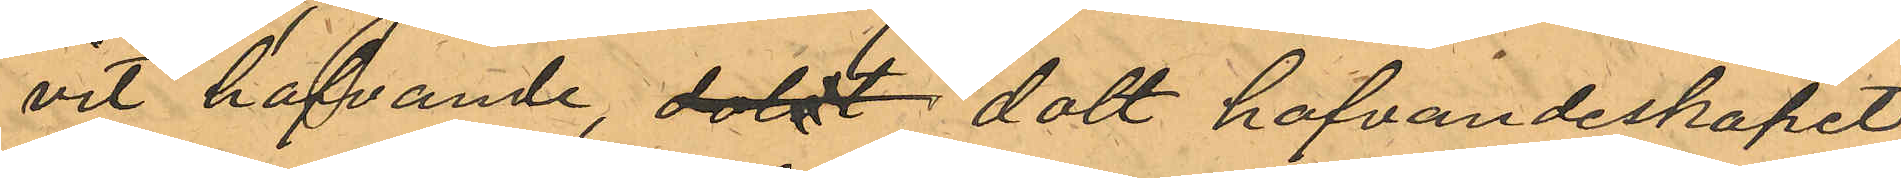vit hafvande, doldt dolt hafvandeskapet
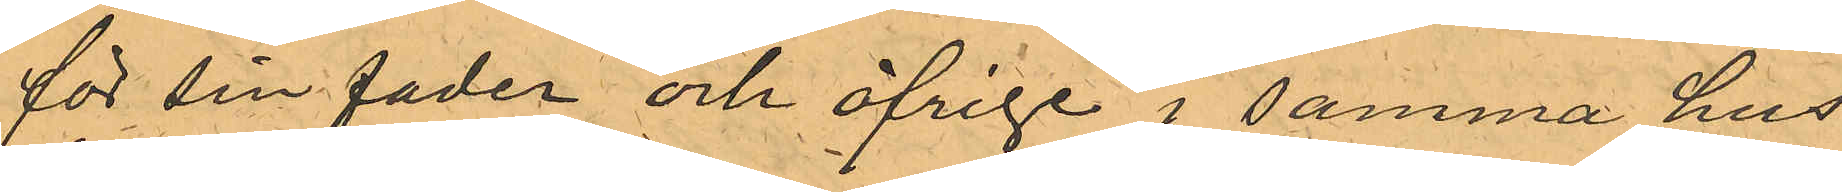för sin fader och öfrige i samma hus
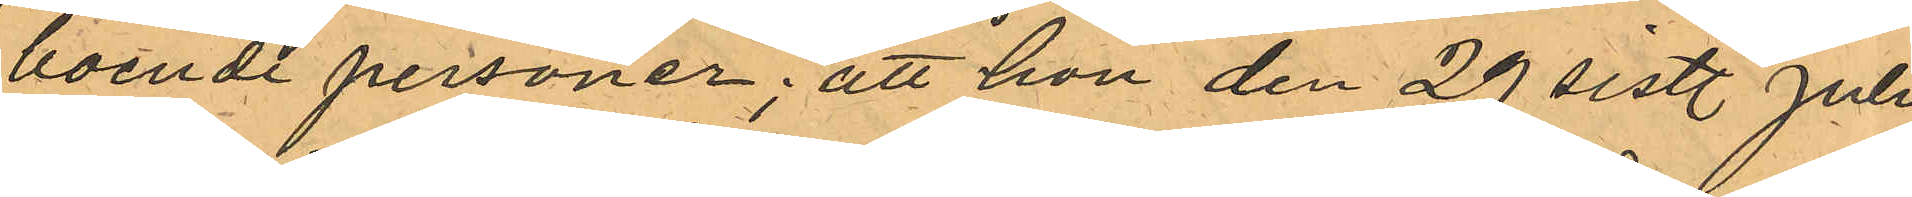boende personer; att hon den 29 sistl. Juli
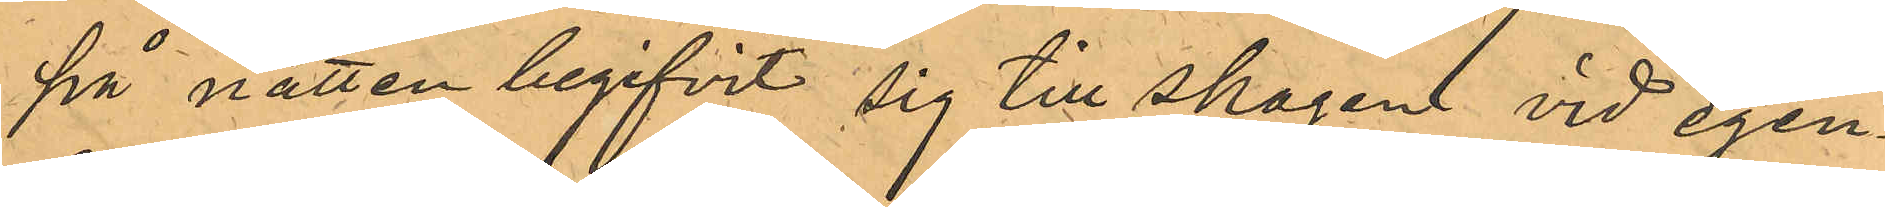på natten begifvit sig till skogen vid egen¬
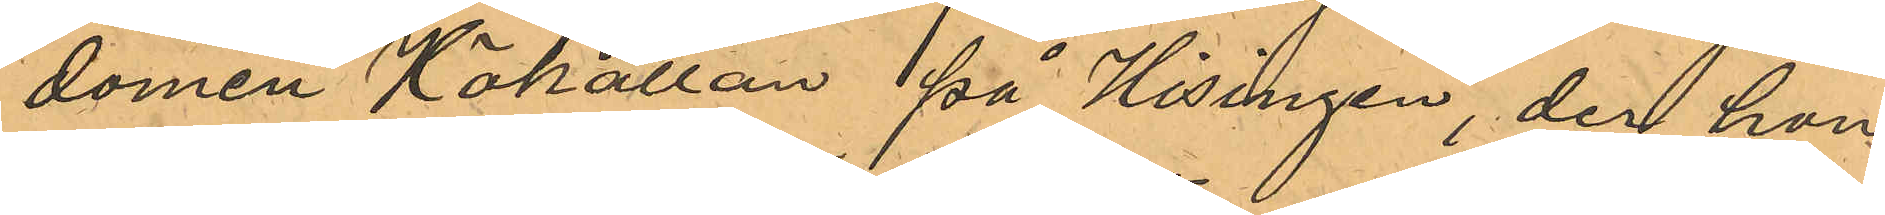domen Hökällan på Hisingen, der hon
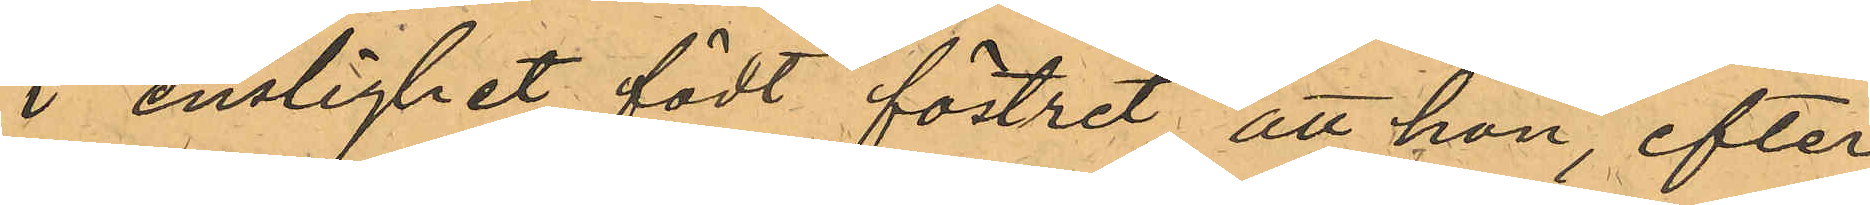i enslighet födt föstret, att hon, efter
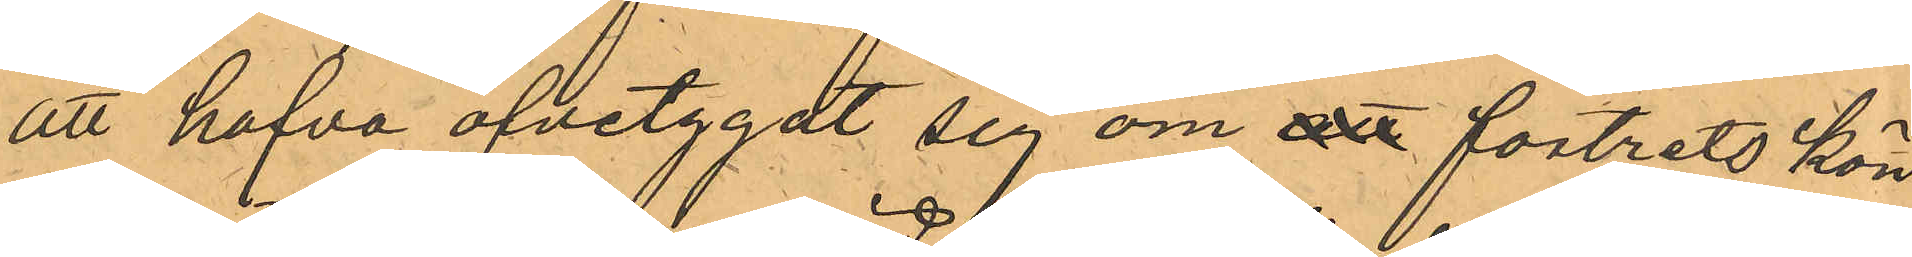att hafva öfvetygat sig om att fostrets kön
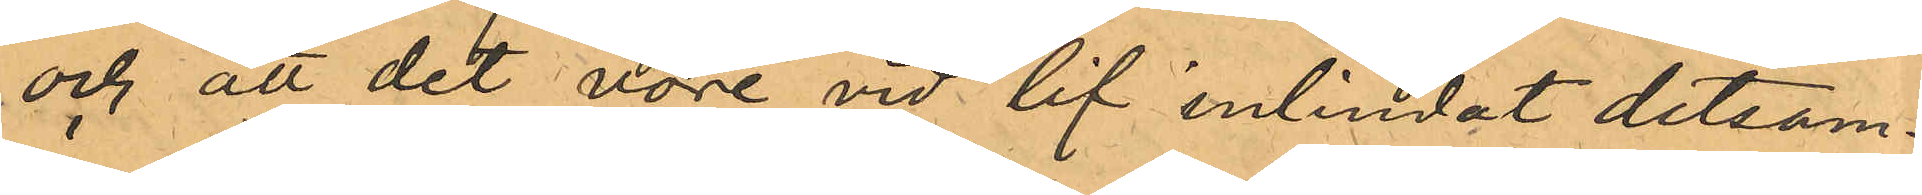och att det vore vid lif inlindat detsam¬
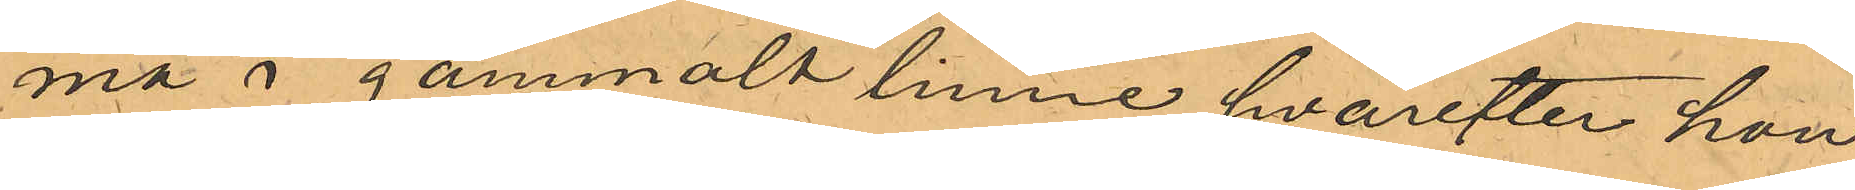ma i gammalt linne, hvarefter hon
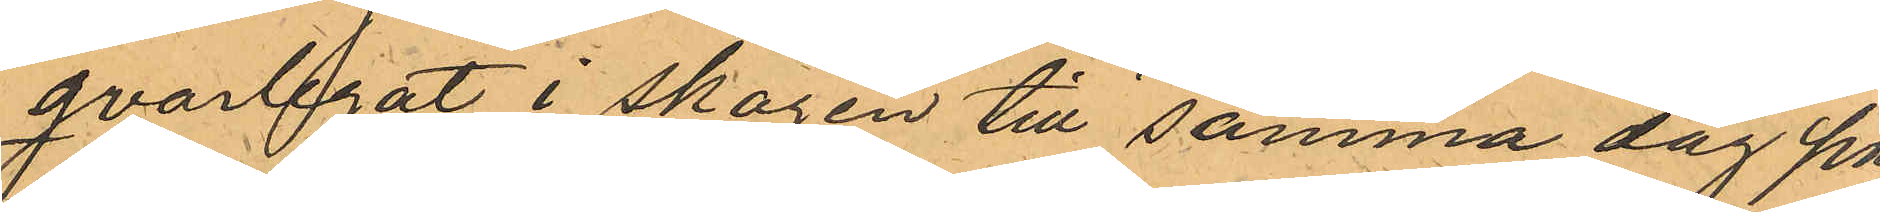qvarlegat i skogen till samma dag på
